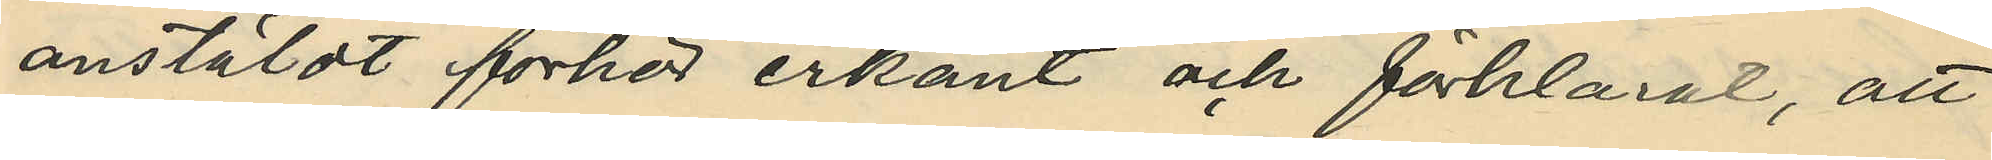anstäldt förhör erkänt och förklarat, att
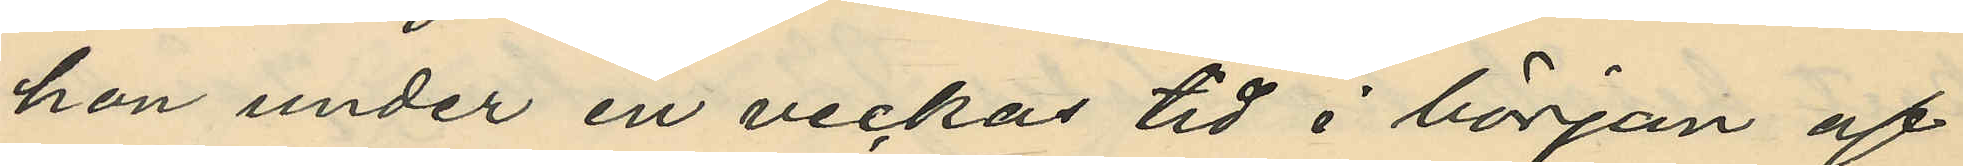hon under en veckas tid i början af
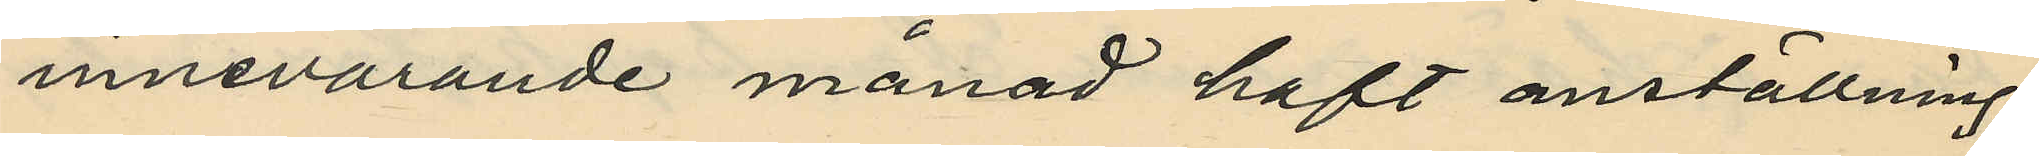innevarande månad haft anställning
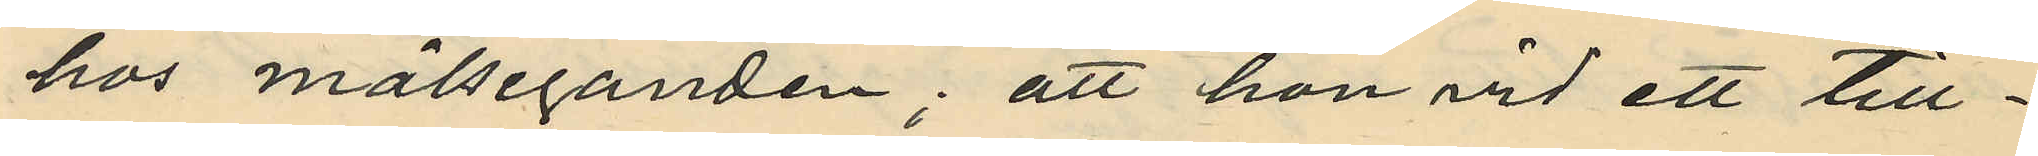hos målseganden; att hon vid ett till¬
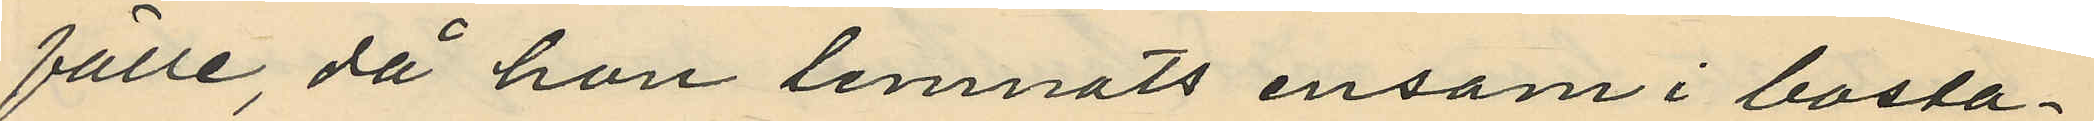fälle, då hon lemnats ensam i bosta¬
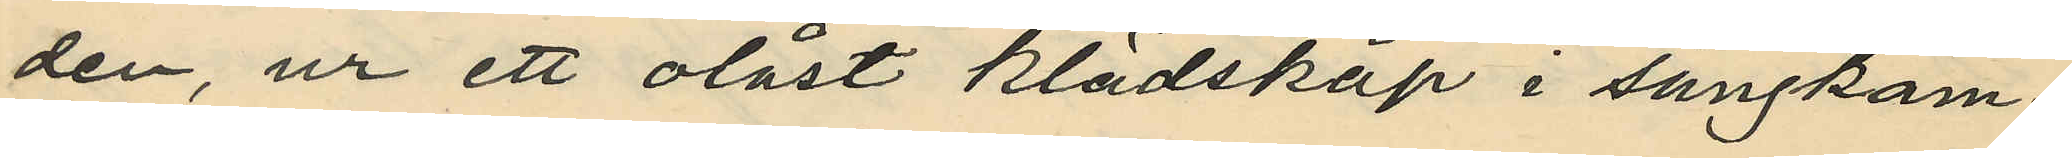den, ur ett olåst klädskåp i sängkam¬
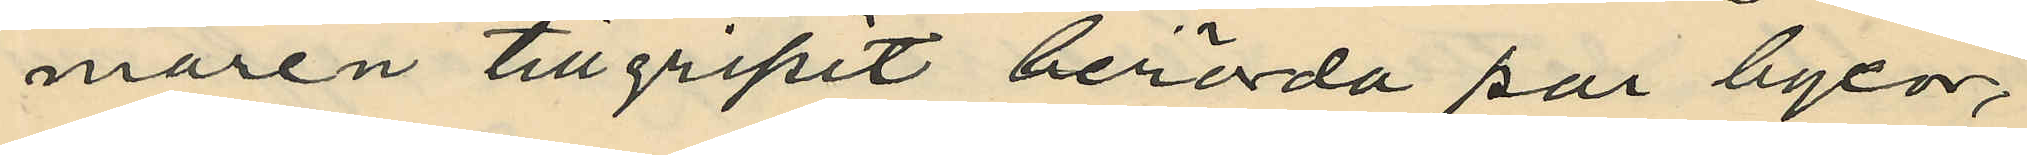maren tillgripit berörda par byxor,
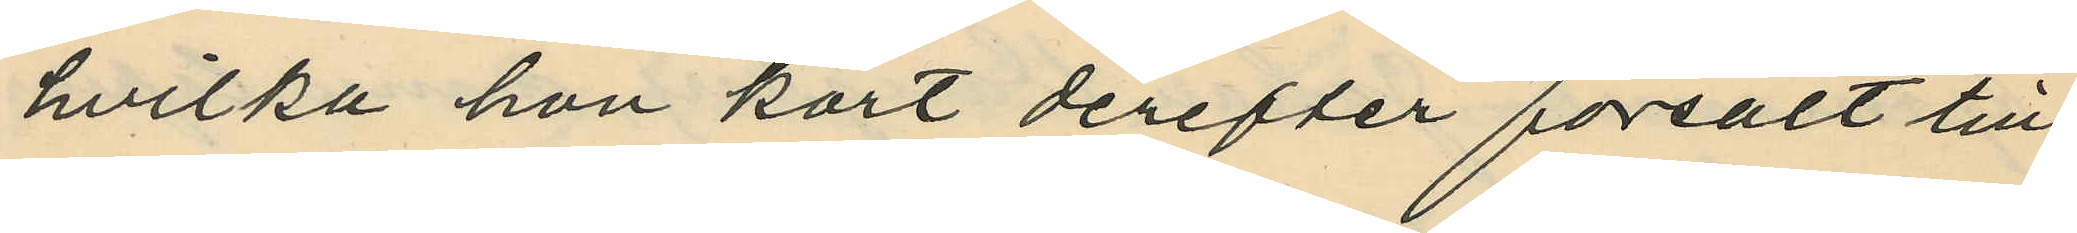hvilka hon kort derefter försålt till
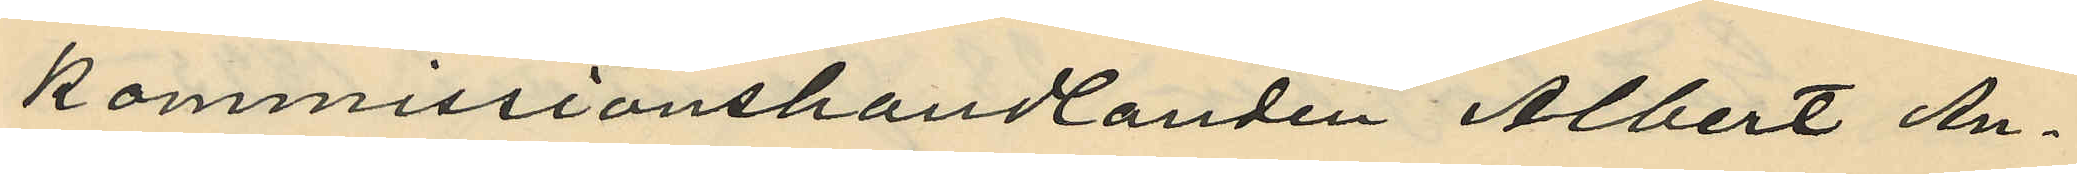kommissionshandlanden Albert An¬
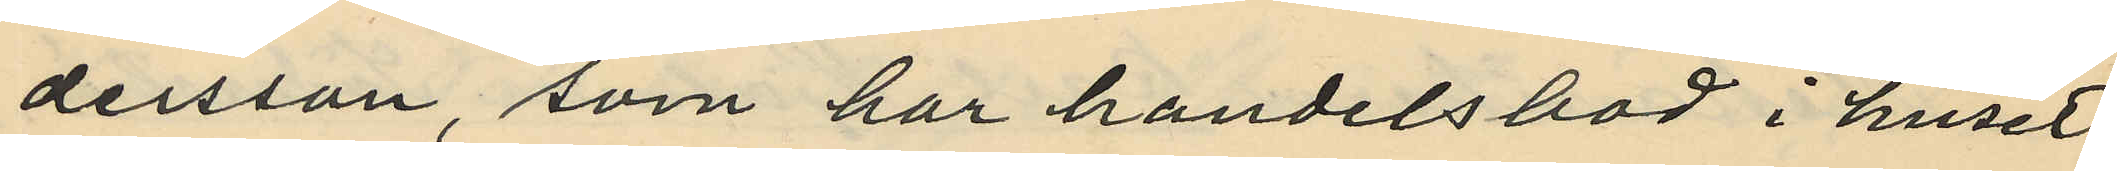dersson, som har handelsbod i huset
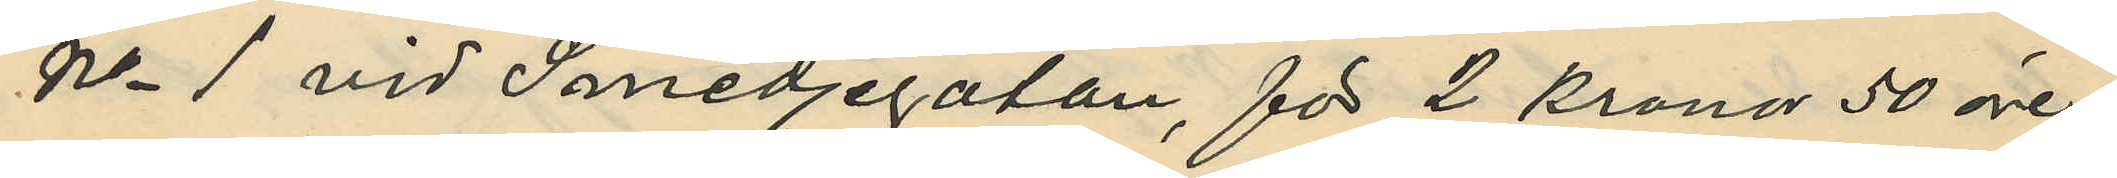No 1 vid Smedjegatan, för 2 kronor 50 öre;
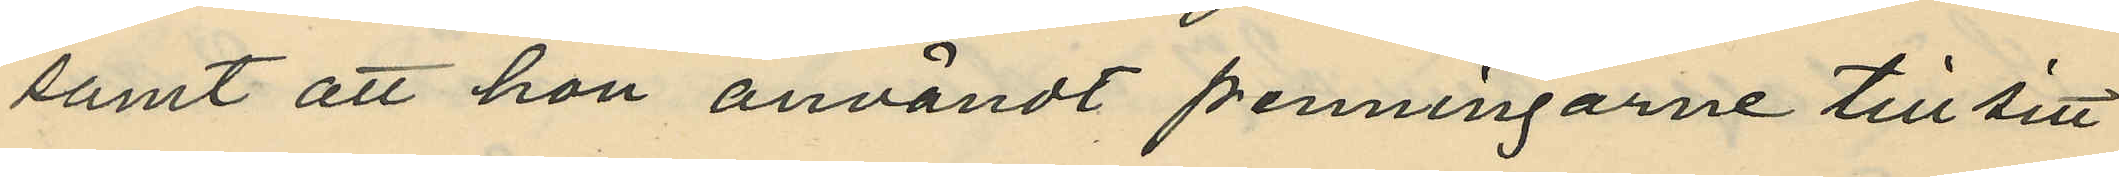samt att hon användt penningarne till sitt
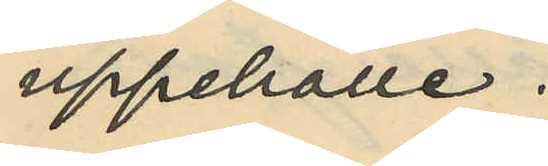uppehälle.
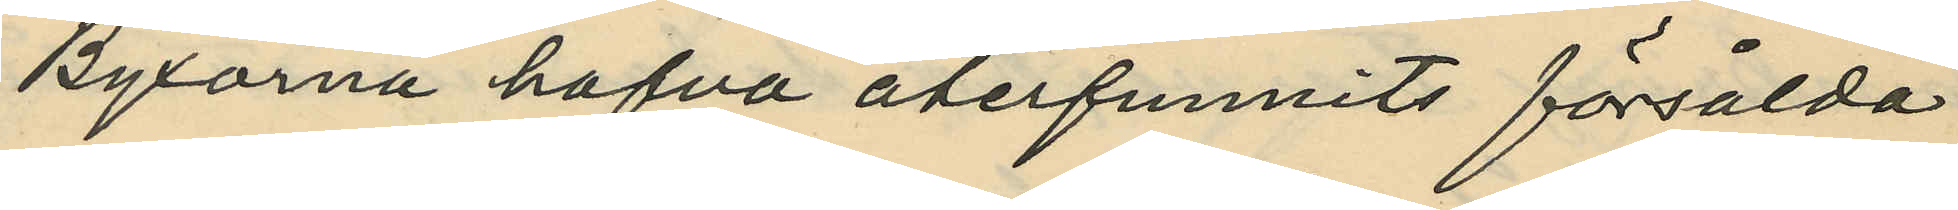Byxorna hafva återfunnits försålda
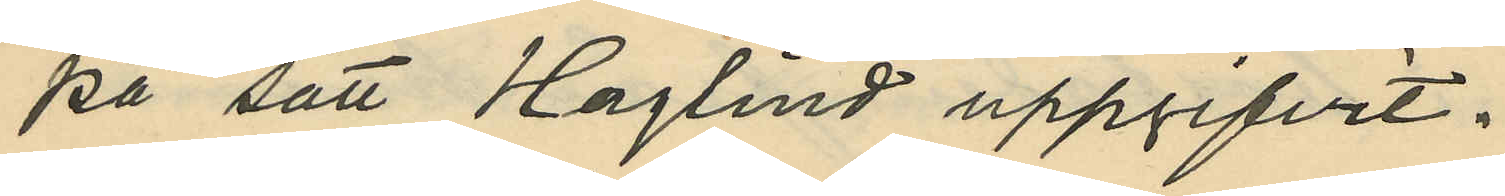på sätt Haglind uppgifvit.
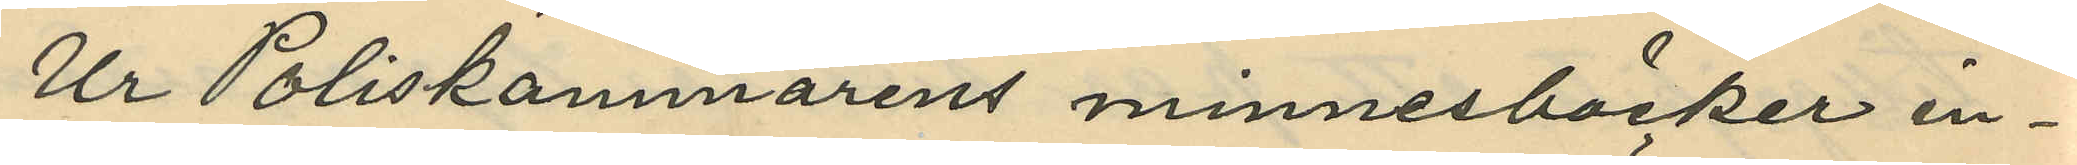Ur Poliskammarens minnesböcker in¬
